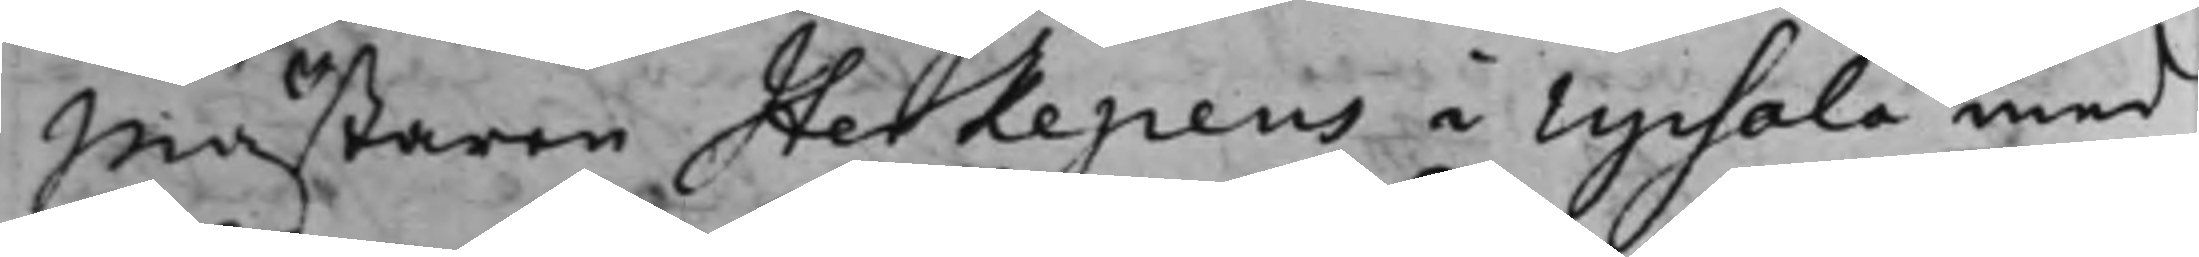Mästaren Herkepeus i Upsala med
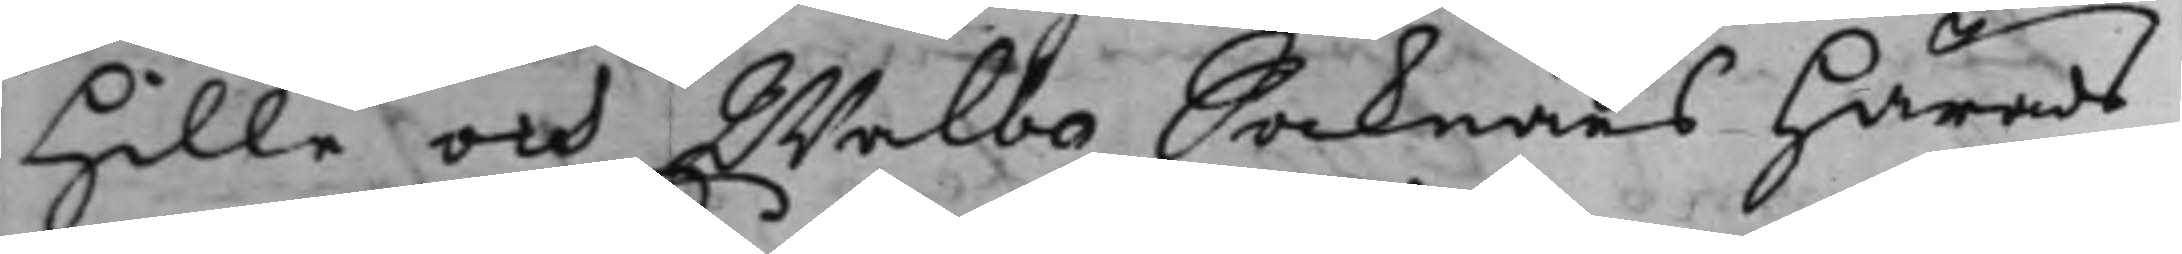Hille och Walbo Socknars Härads¬
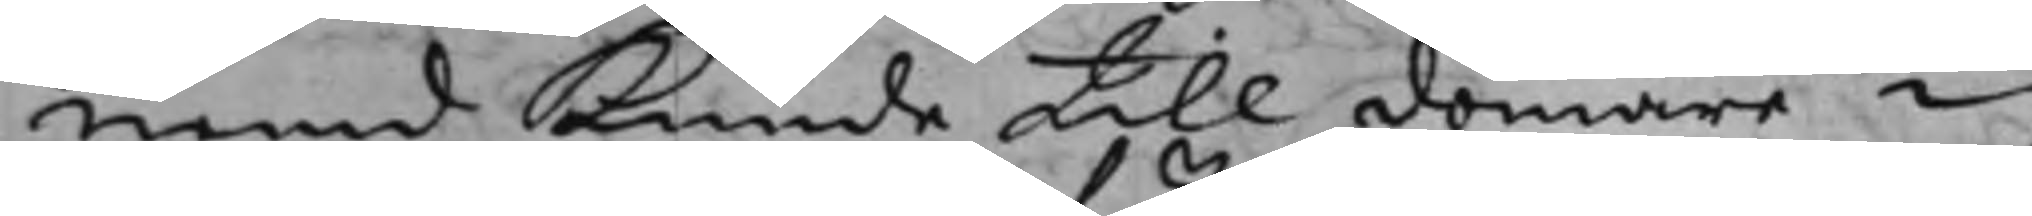nemd Kunde till domare i
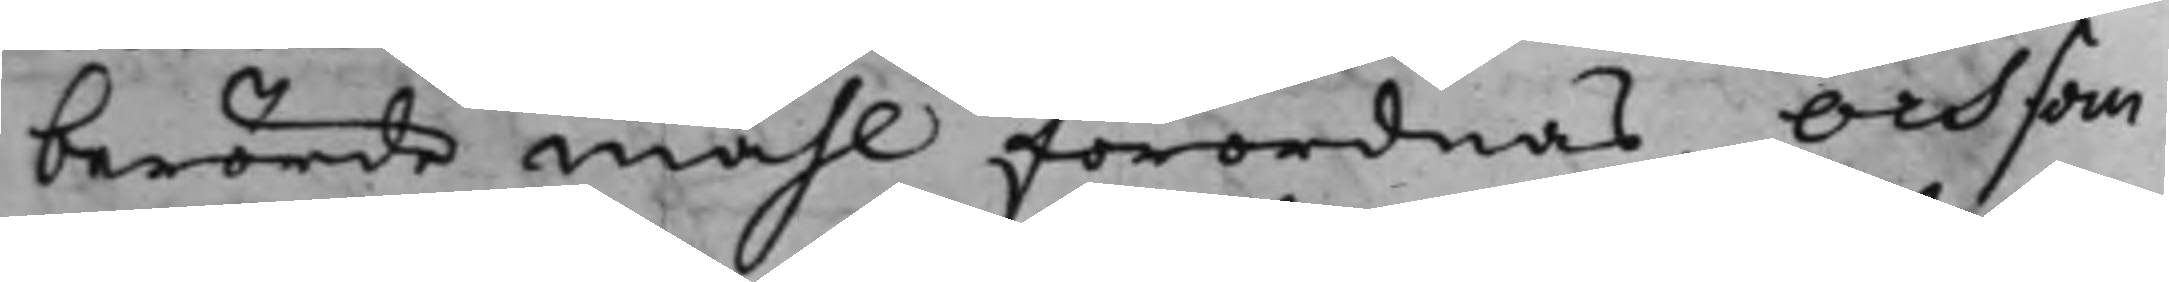berörde måhl förordnas. Och som
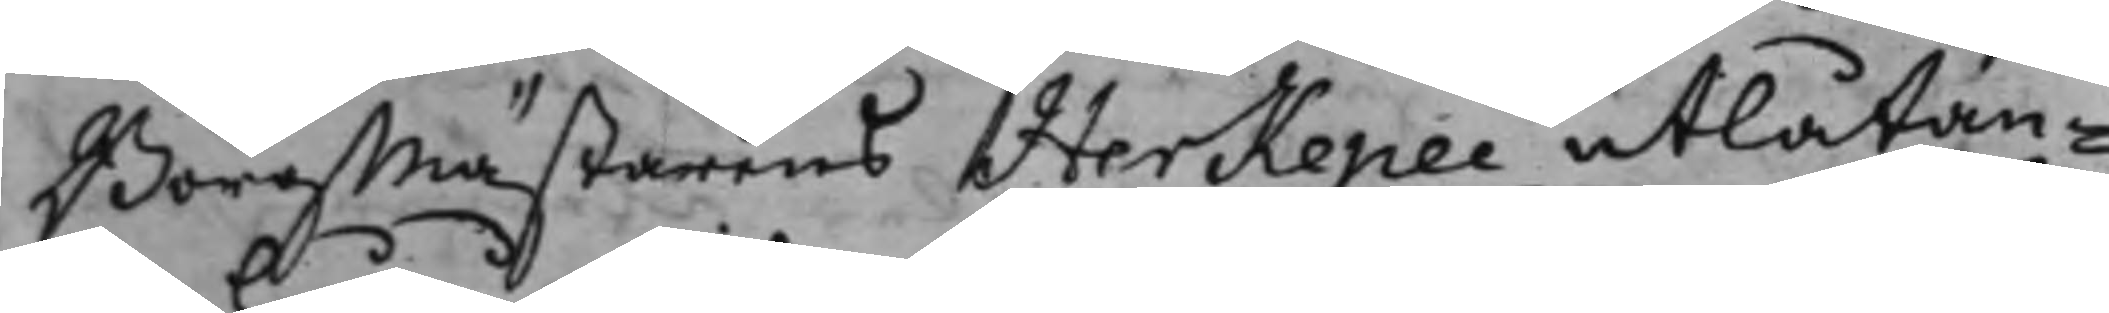Borgmästarens Herkepei utlåtan¬
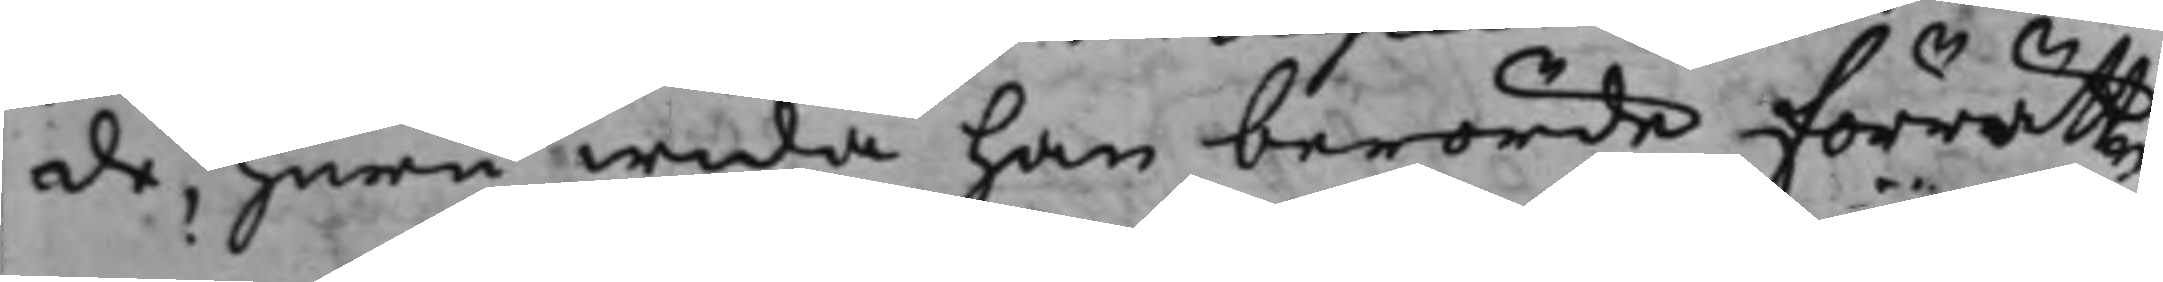de, huruwida han berörde förrätt¬
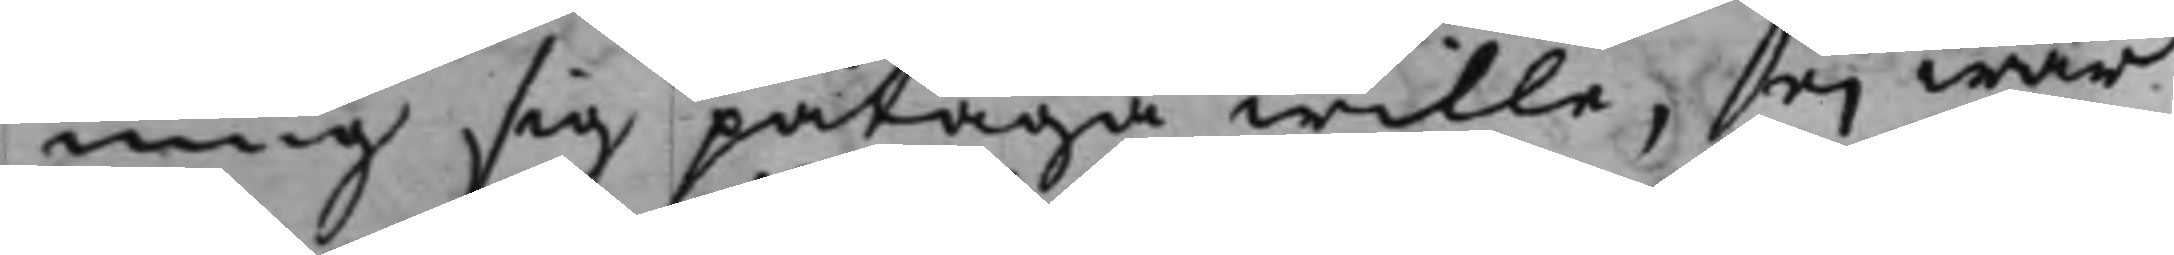ning sig påtaga wille, ei war
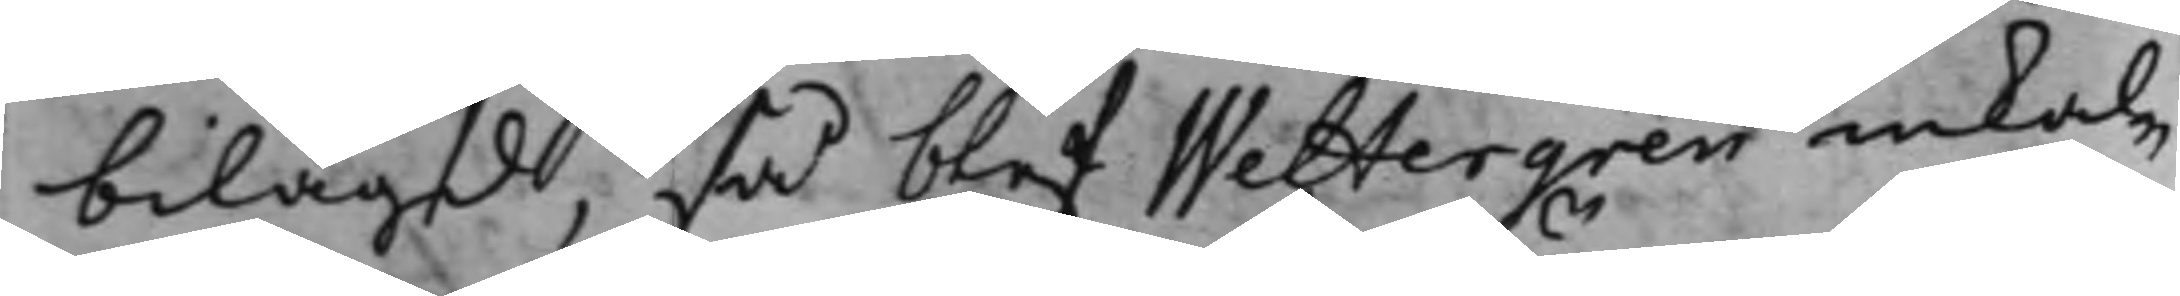bilagd, så blef Wettergren inkal¬
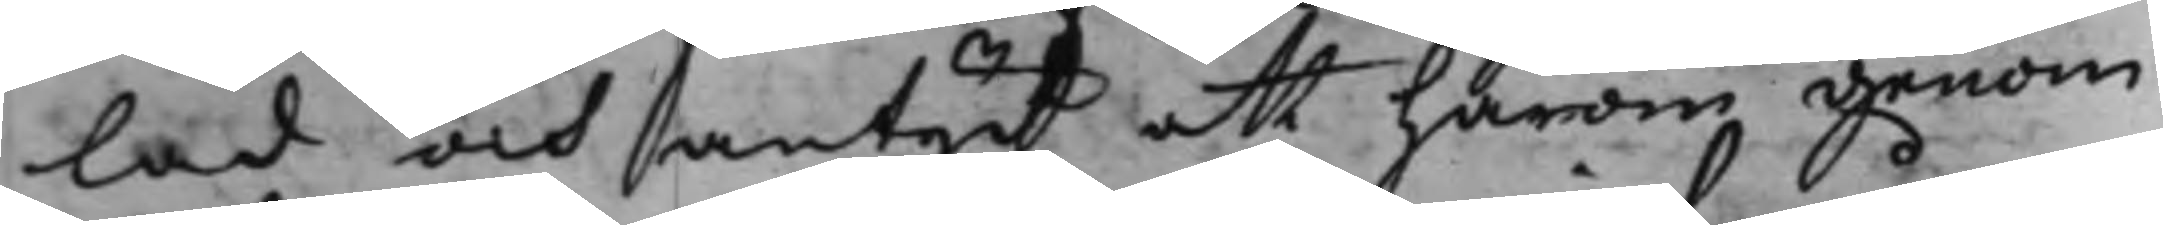lad och antydt att härom genom
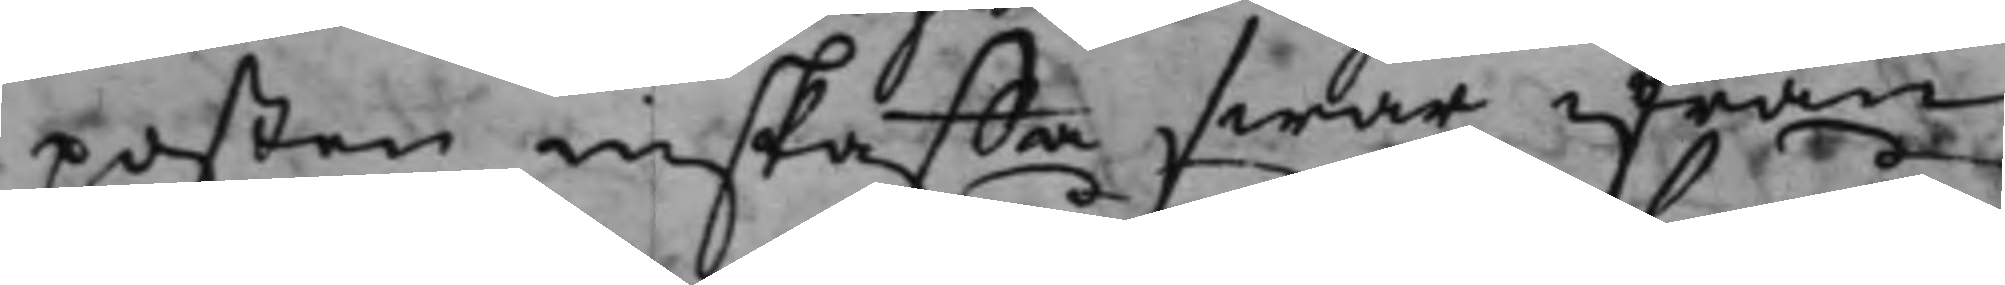posten inskaffa swar ifrån
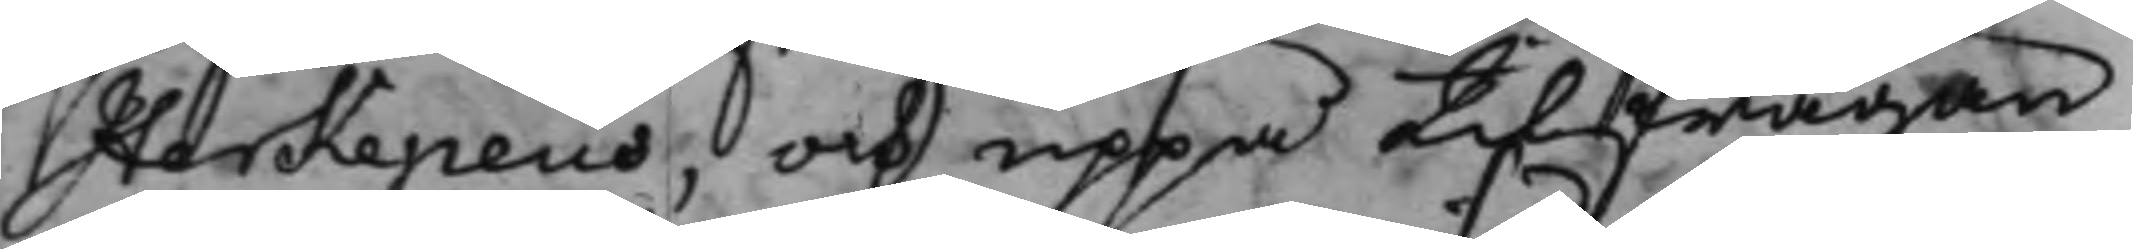Herkepeus, och uppå tilfrågan
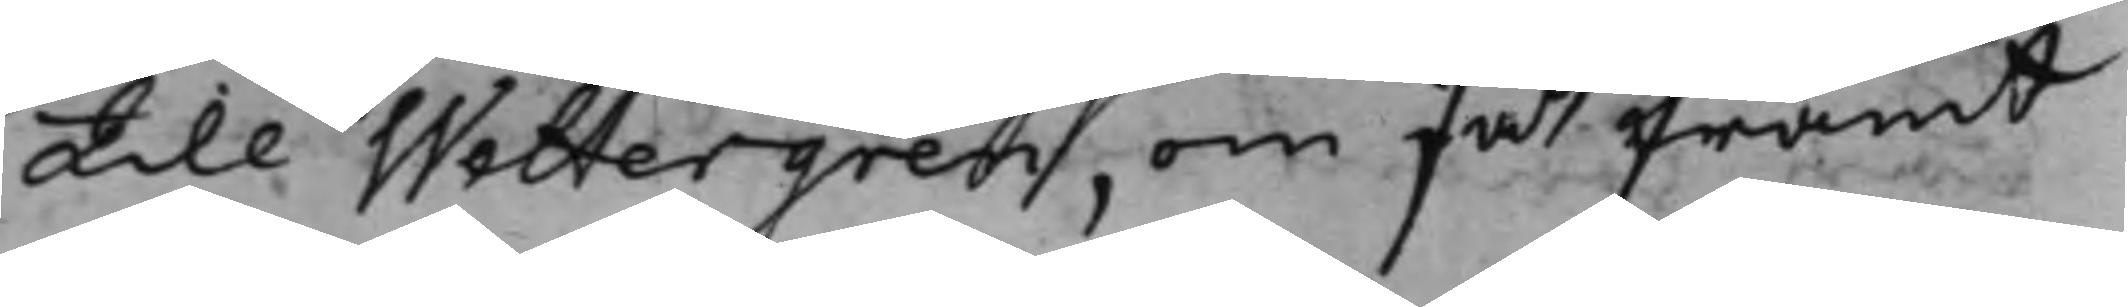till Wettergren, om så framt
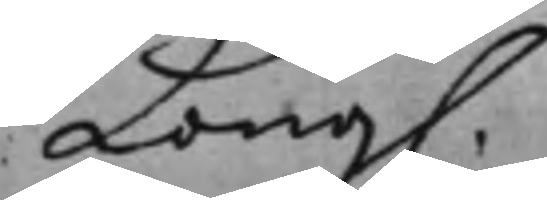Kong.
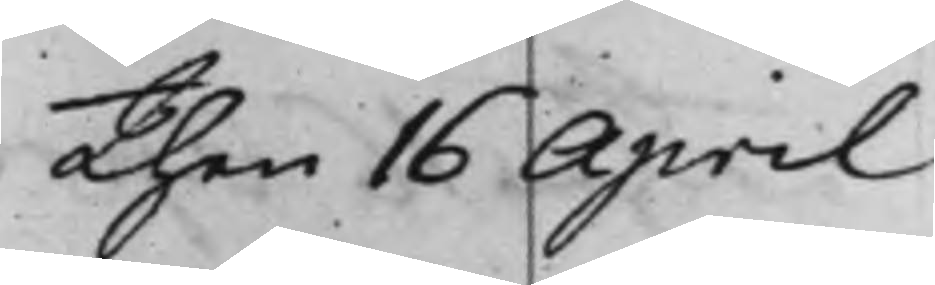Then 16 April
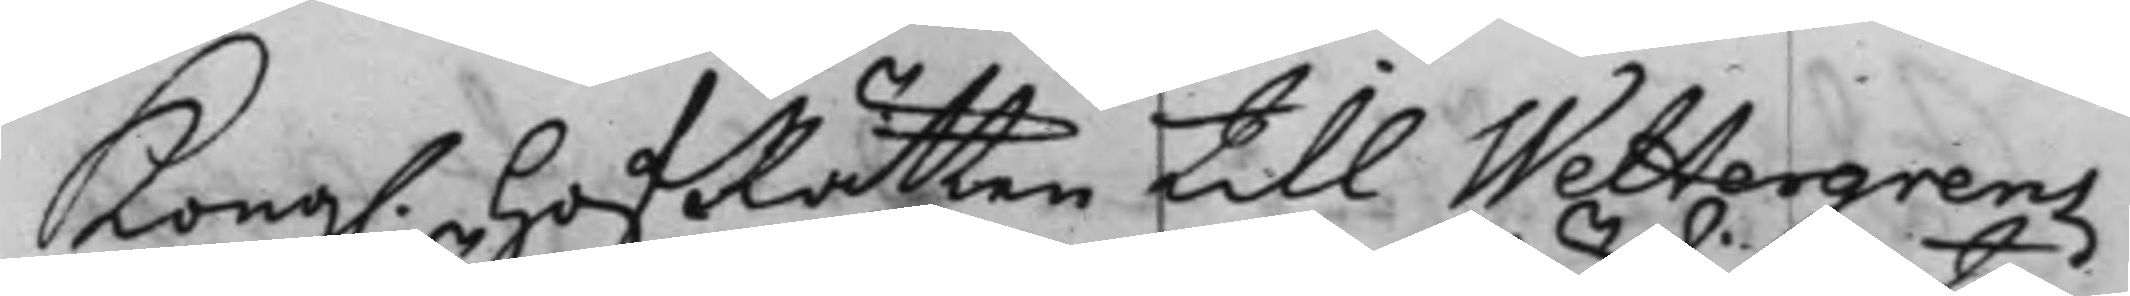Kong. HofRätten till Wettergrens
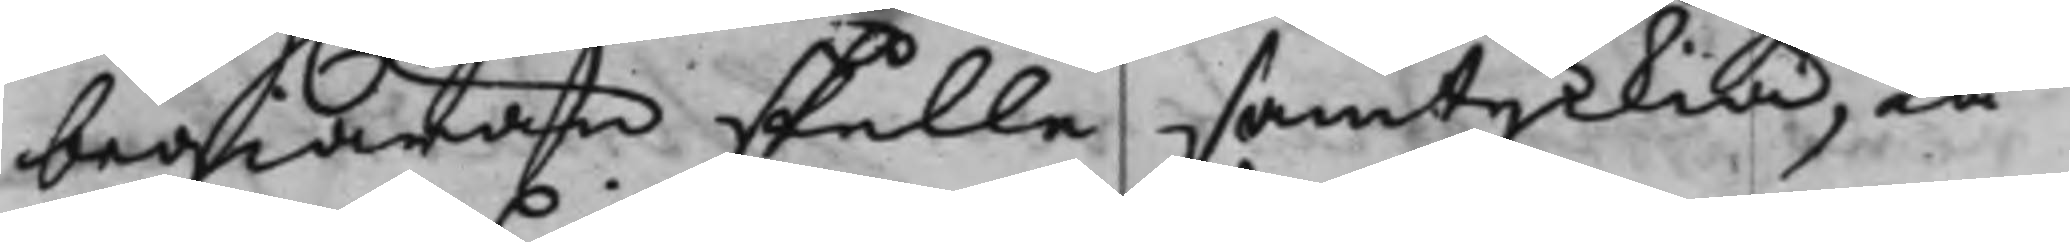begiäran skulle samtyckia, tå
